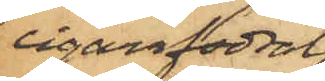cigarrfodral,
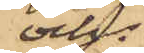och
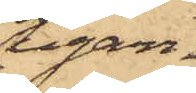cigarr¬
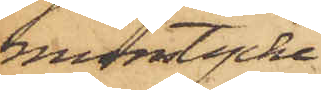munstycke,
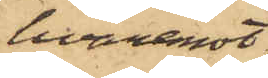hvaremot
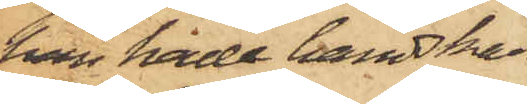han hade handskarne
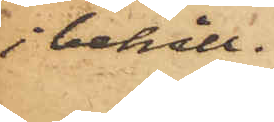i behåll.
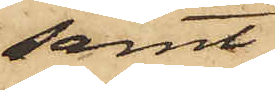samt
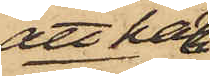att han
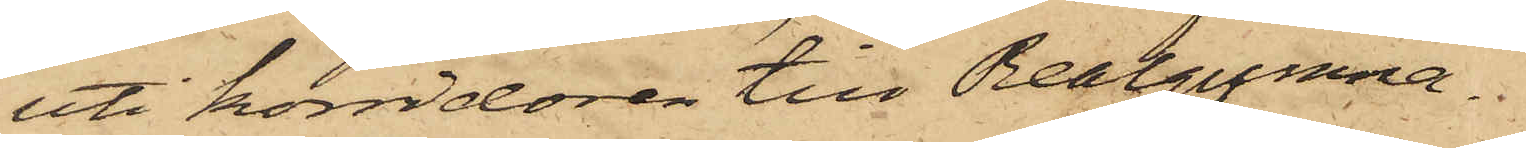uti korridoren till Realgymna¬
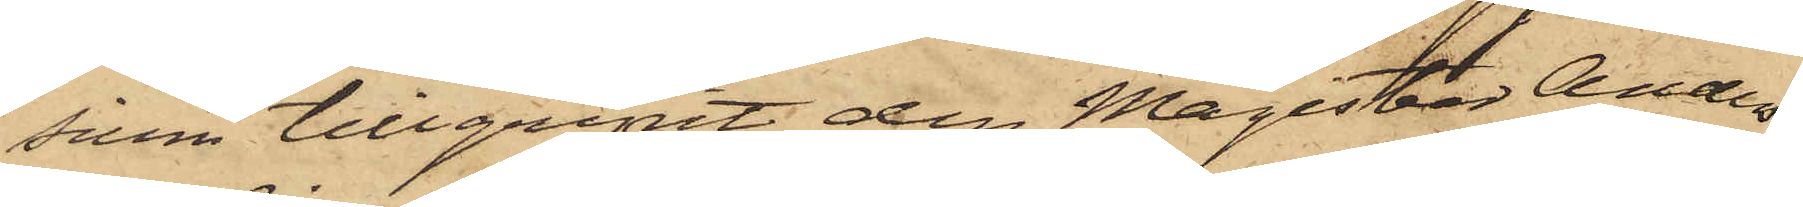sium tillgripit den Magister Anders¬
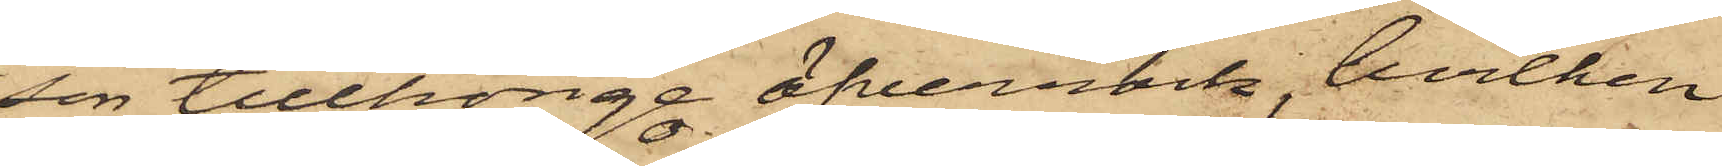son tillhörige öfverrock, hvilken
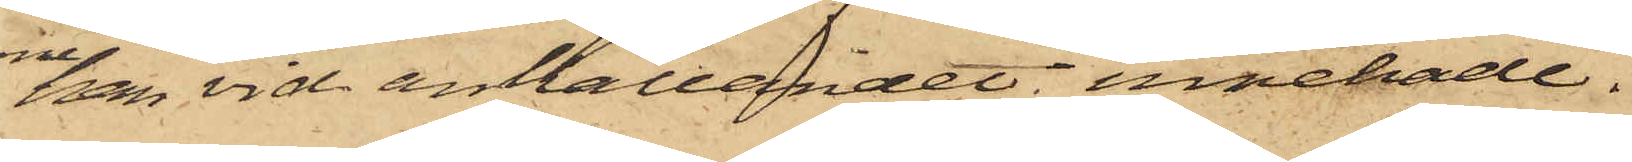han vid anhållandet innehade.
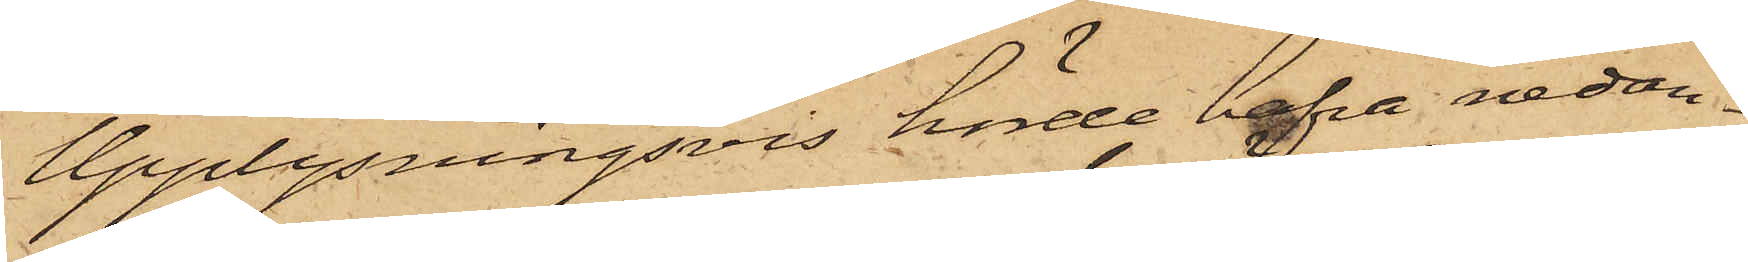Upplysningsvis hörde hafva nedan
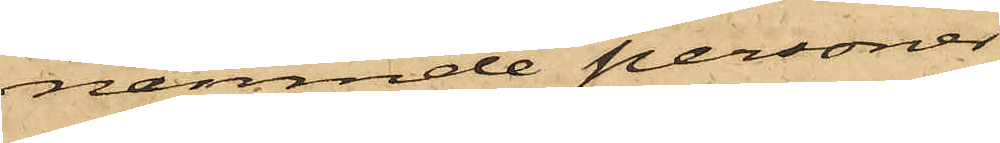nämnde personer
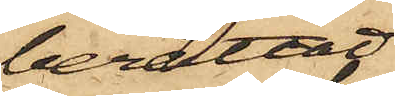berättat:
